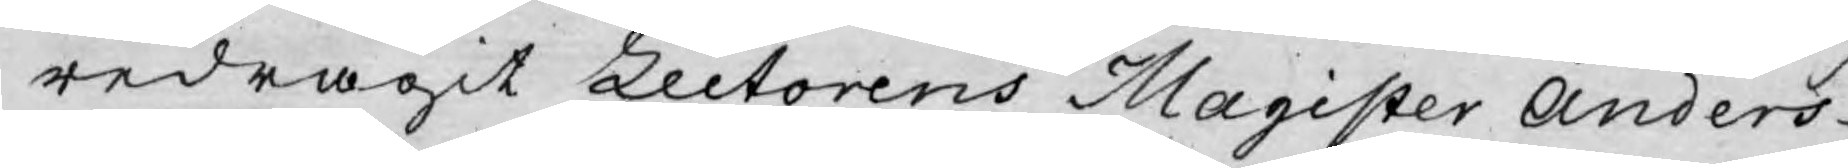redragit Lectorens Magister Anders
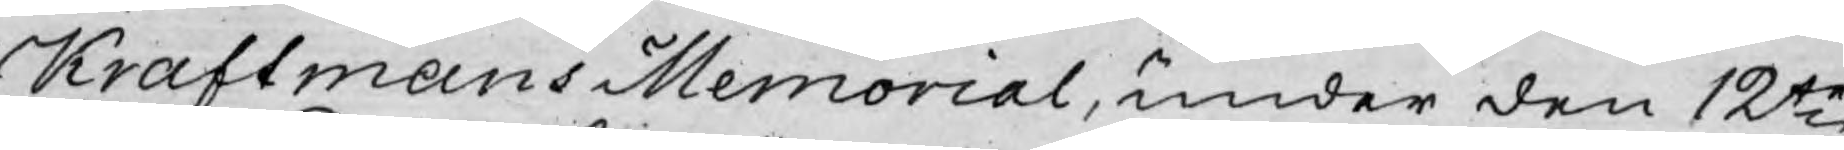Kraftmans Memorial, under den 12te
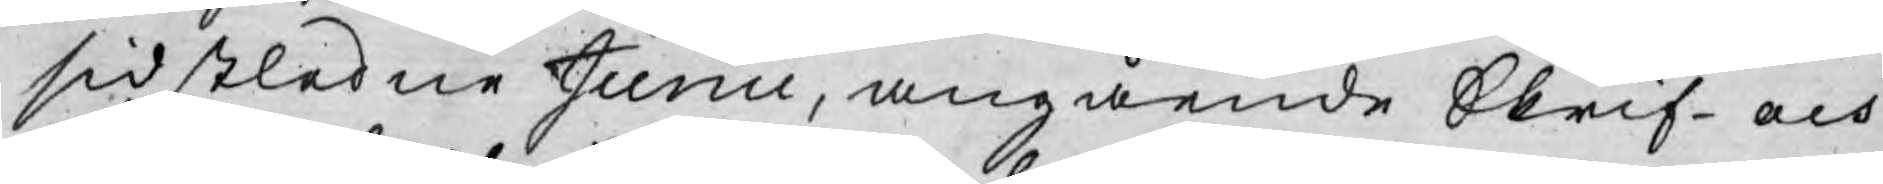sidstledne Junii, angående Skrif- och
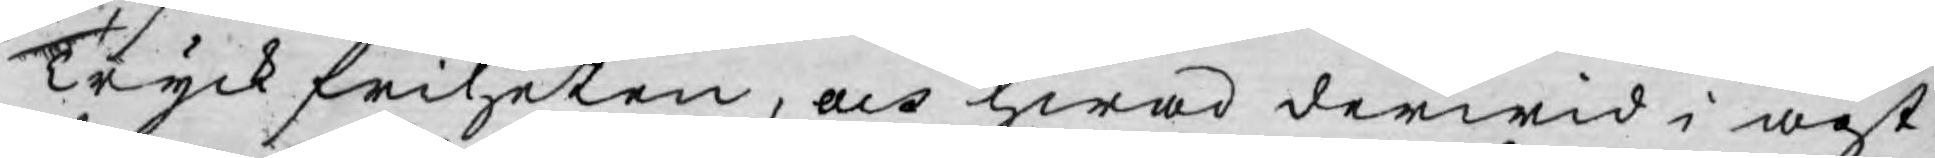Tryckfriheten, och hwad derwid i agt¬
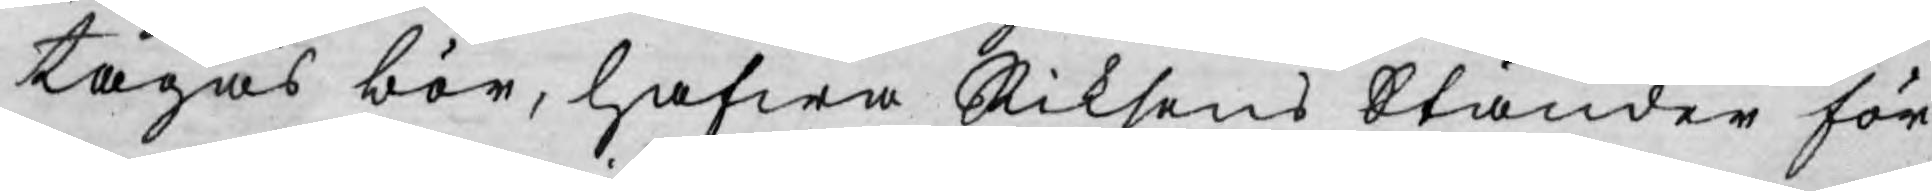tagas bör, hafwa Riksens Ständer för
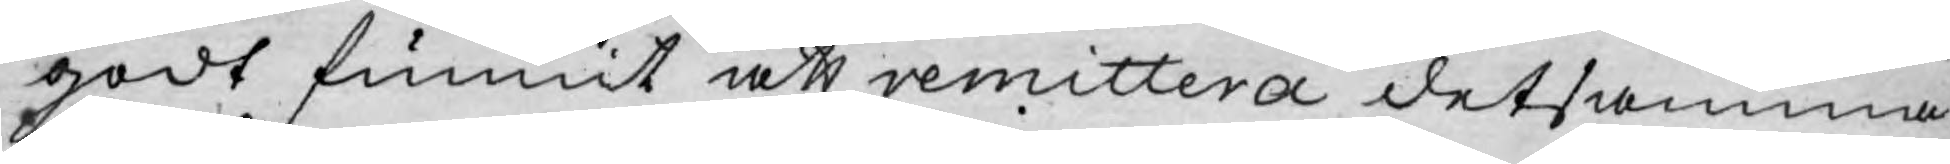godt funnit att remittera detsamma
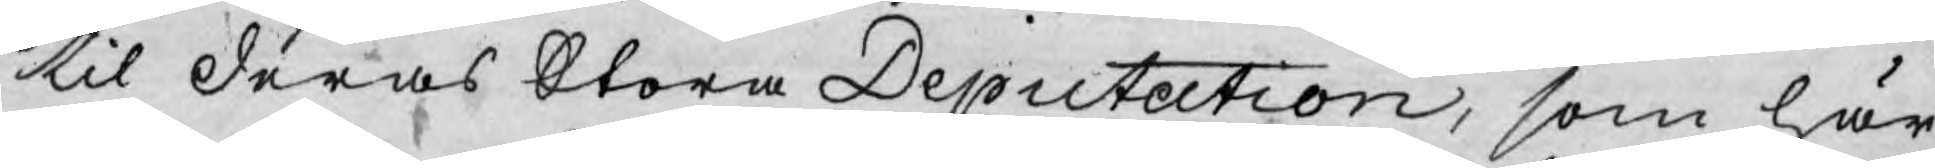til deras Stora Deputation, som här
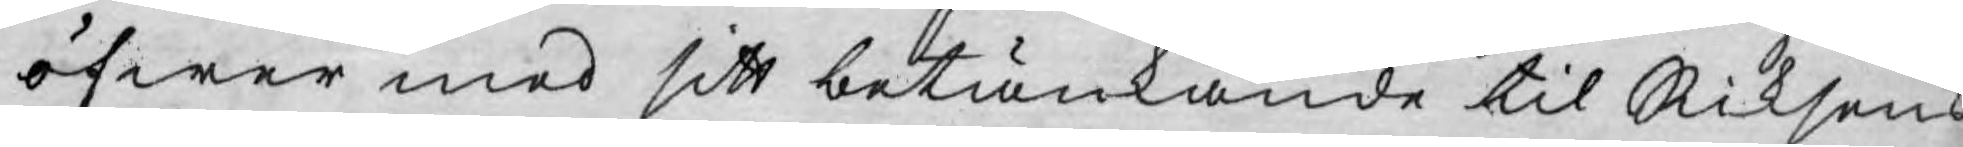öfwer med sitt betänkande til Riksens
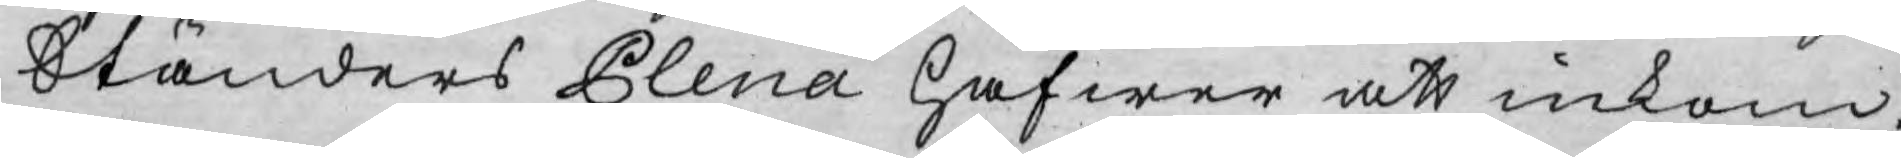Ständers Plena hafwer att inkom¬
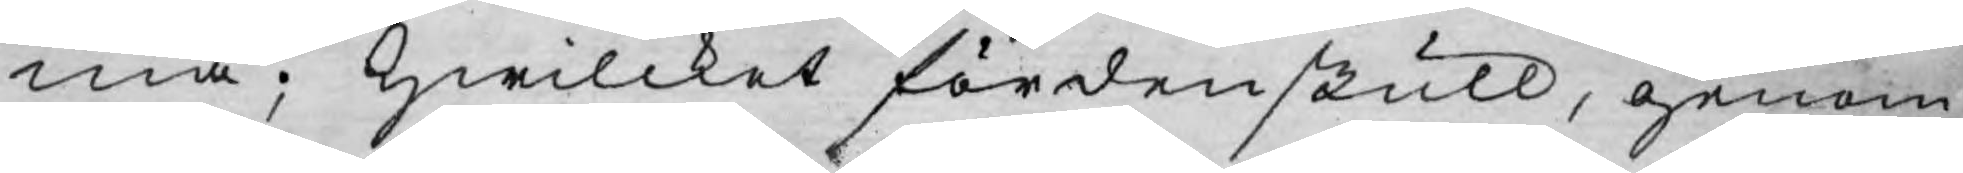ma; hwilcket fördenskull, genom
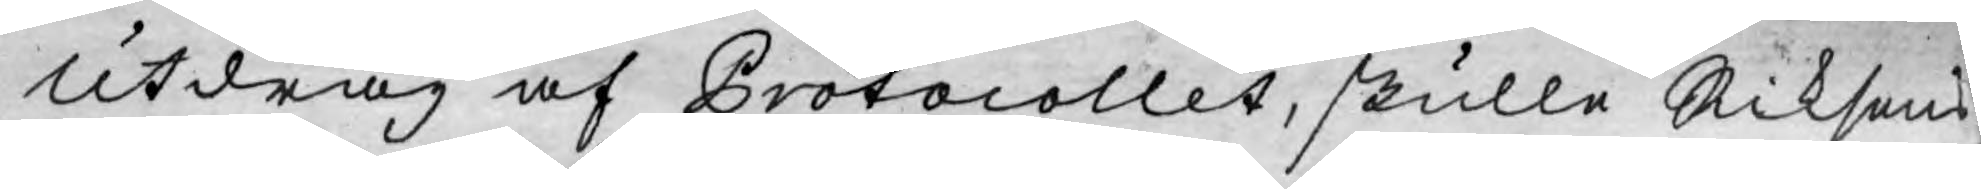Utdrag af Protocollet, skulle Riksens
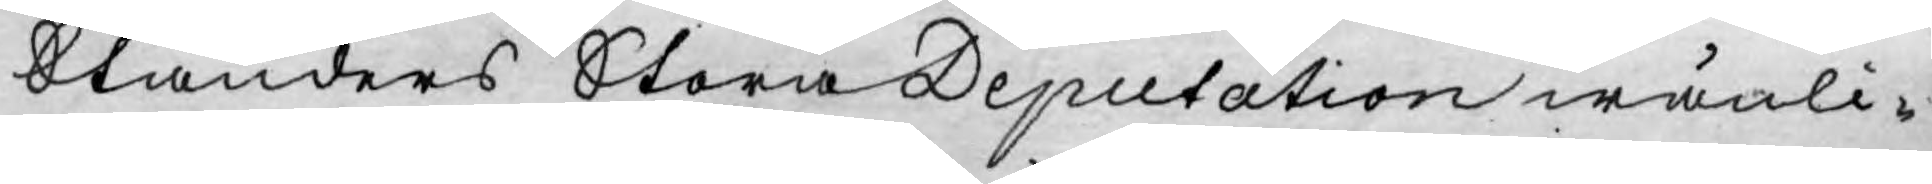Ständers Stora Deputation wänli¬
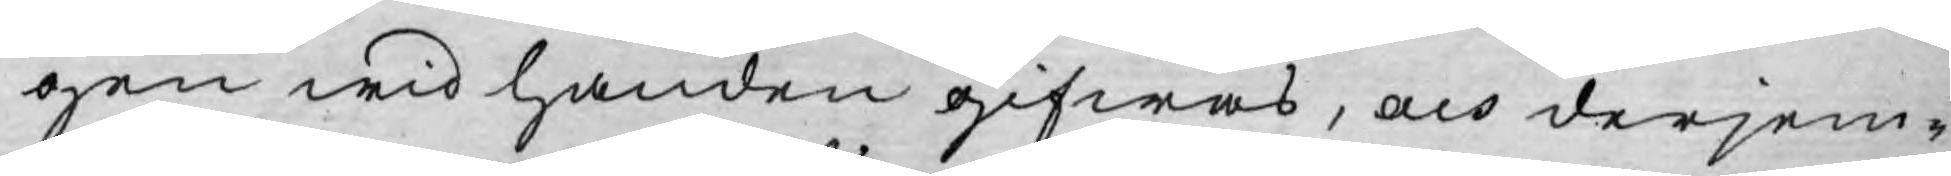gen wid handen gifwas, och derjem¬
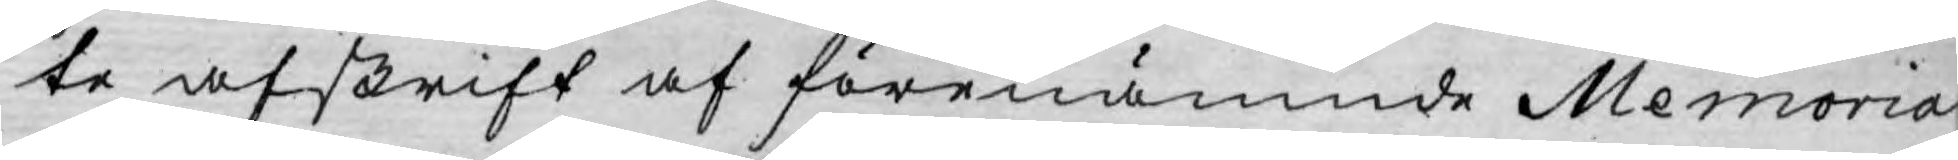te afskrift af förenämnde Memorial
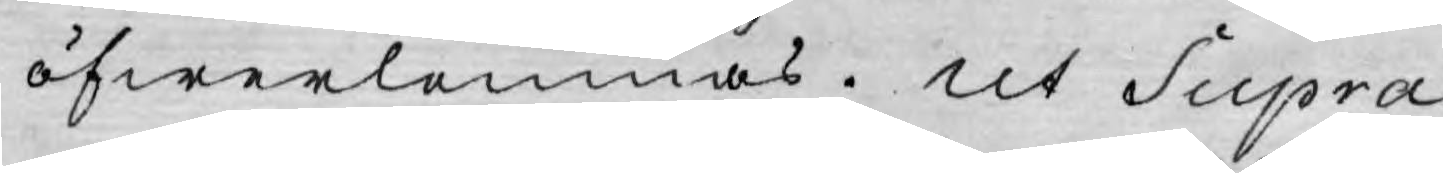öfwerlemnas. Ut Supra.
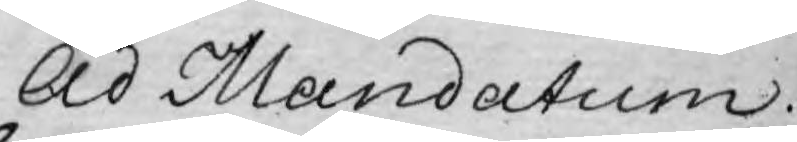Ad Mandatum.
